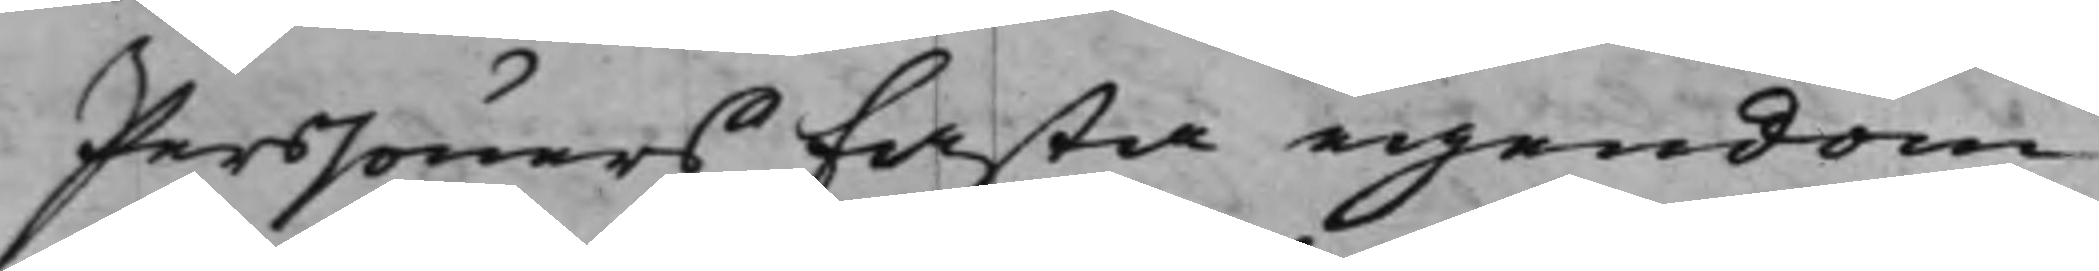Perssöners Fasta egendom
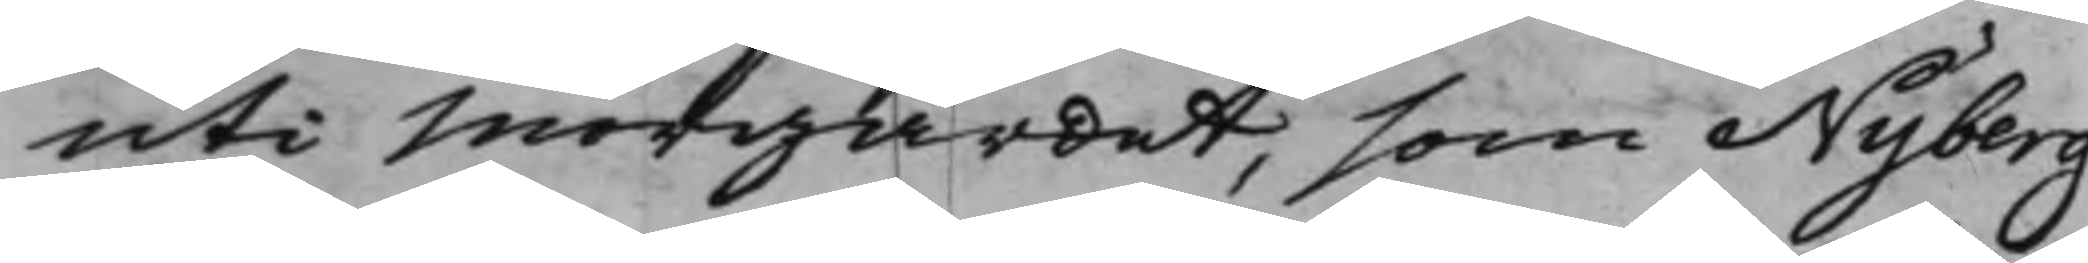uti Morgärdet, som Nyberg
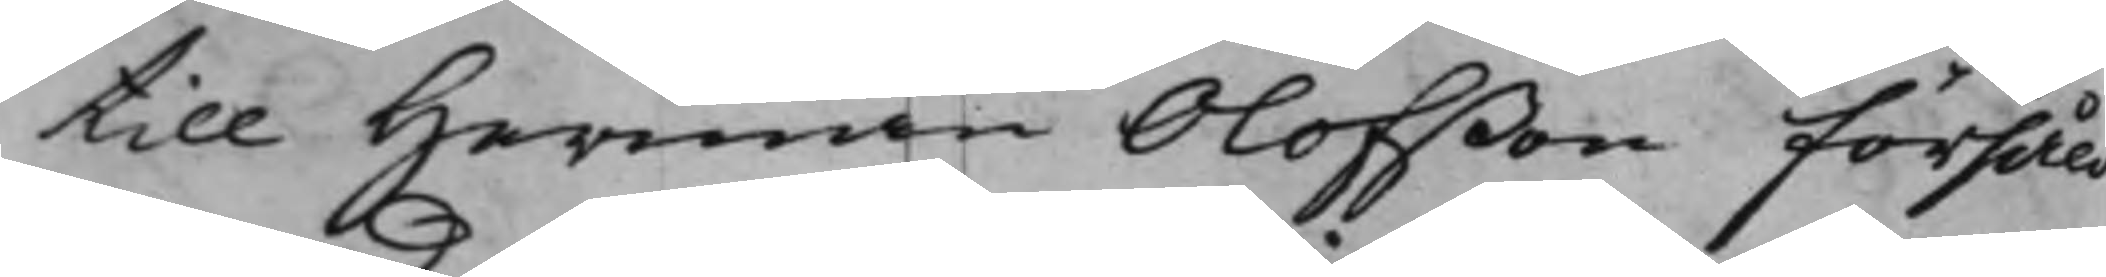till Herman Olofßon försåldt,
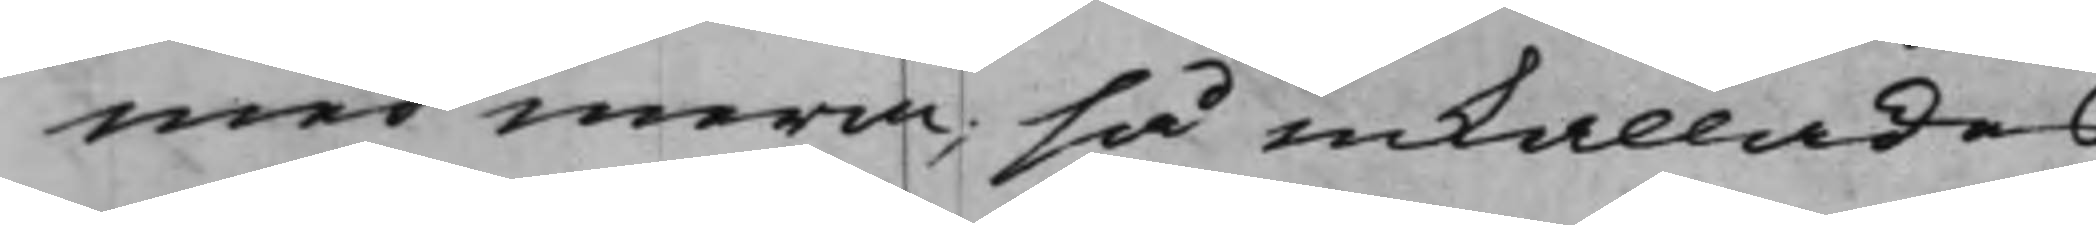med mera, så inkallades
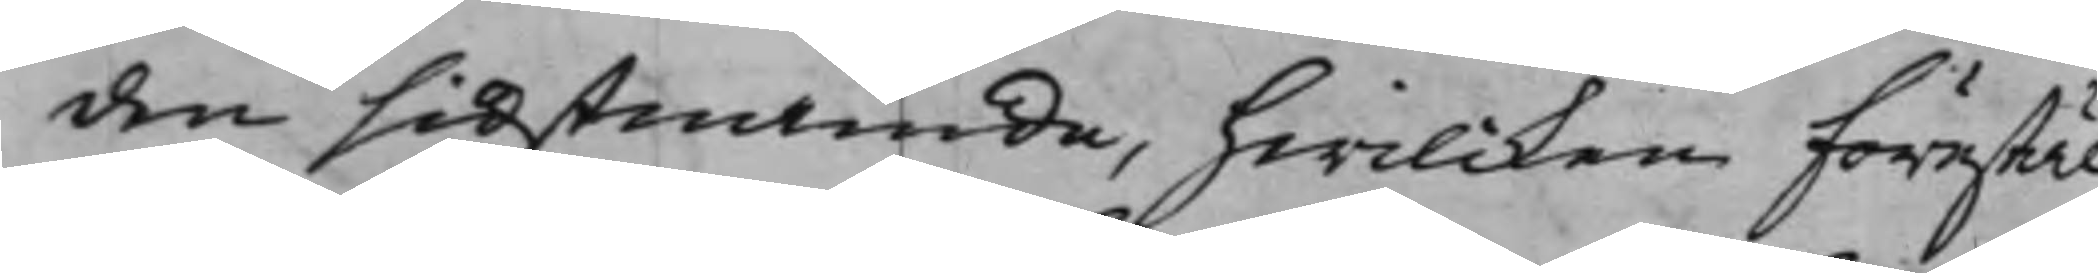den sidstnämde, hwilcken förestäl¬
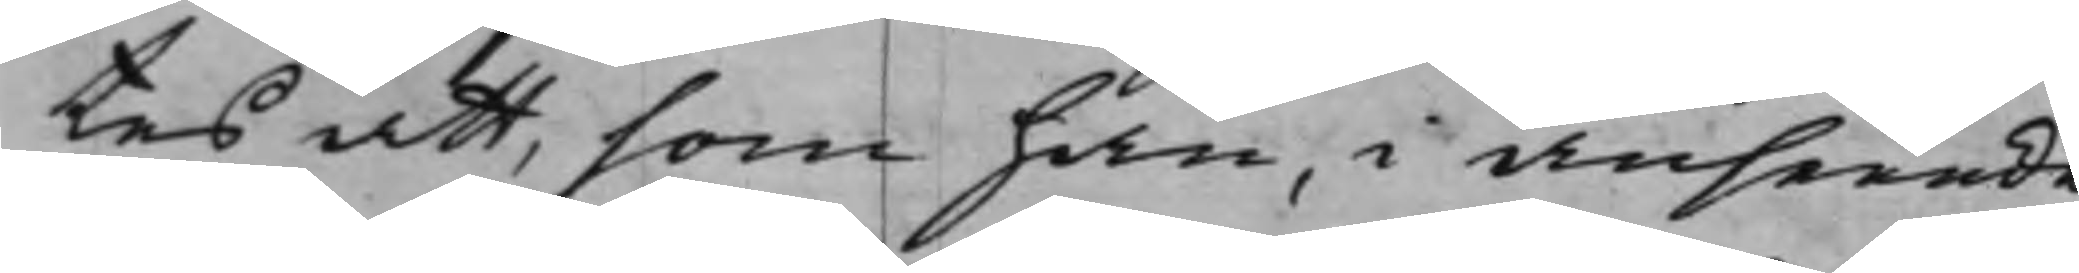tes att, som han, i anseende
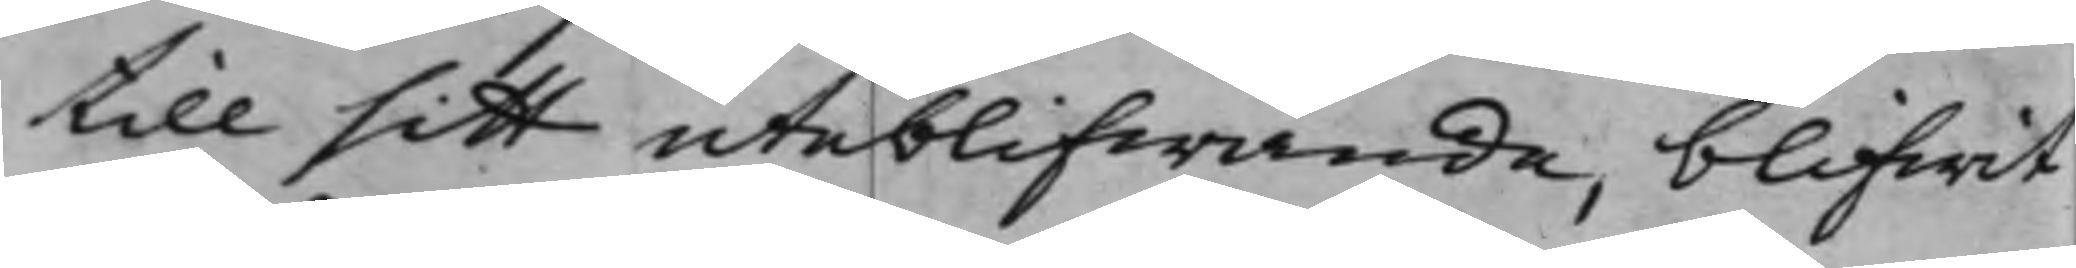till sitt uteblifwande, blifwit
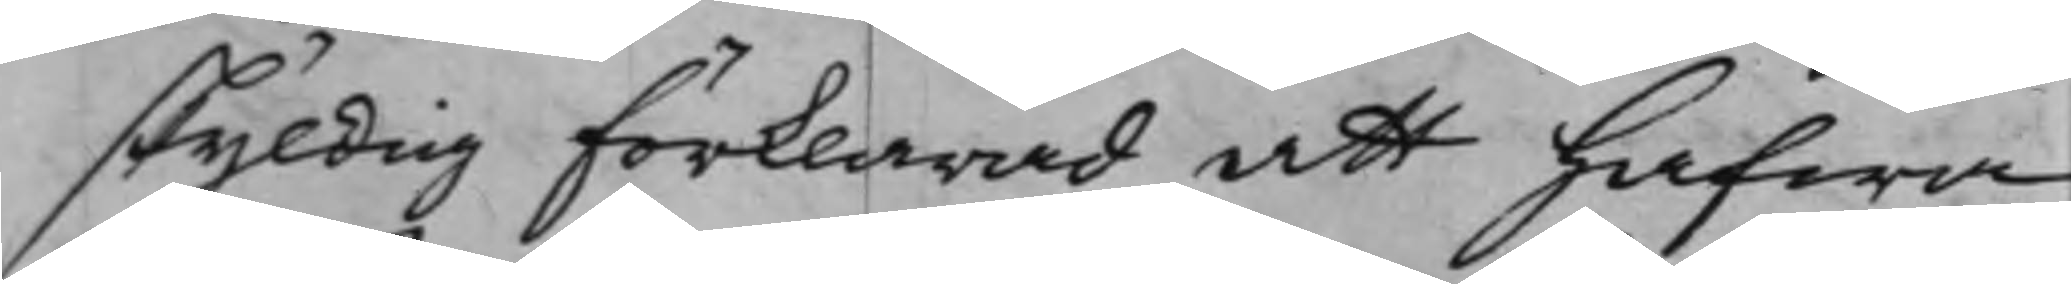skyldig förklarad att hafwa
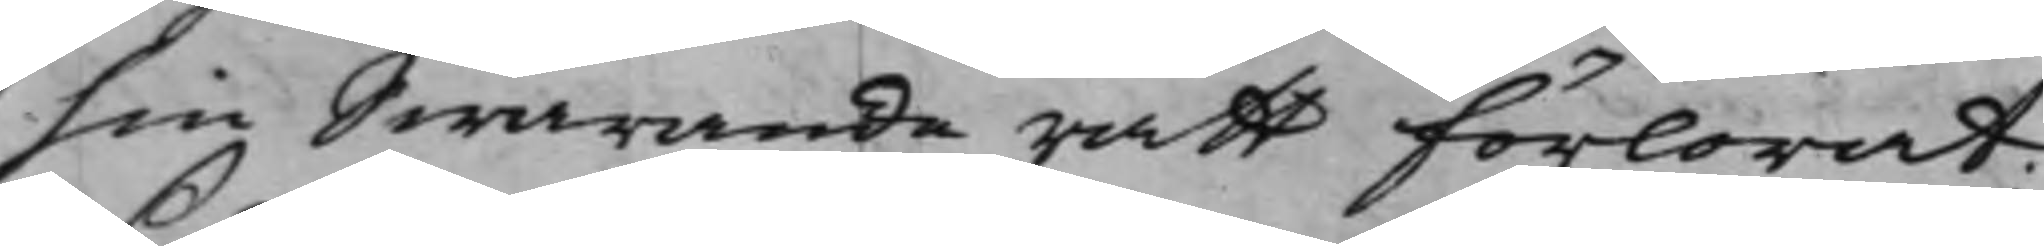sin Swaranderätt förlorat;
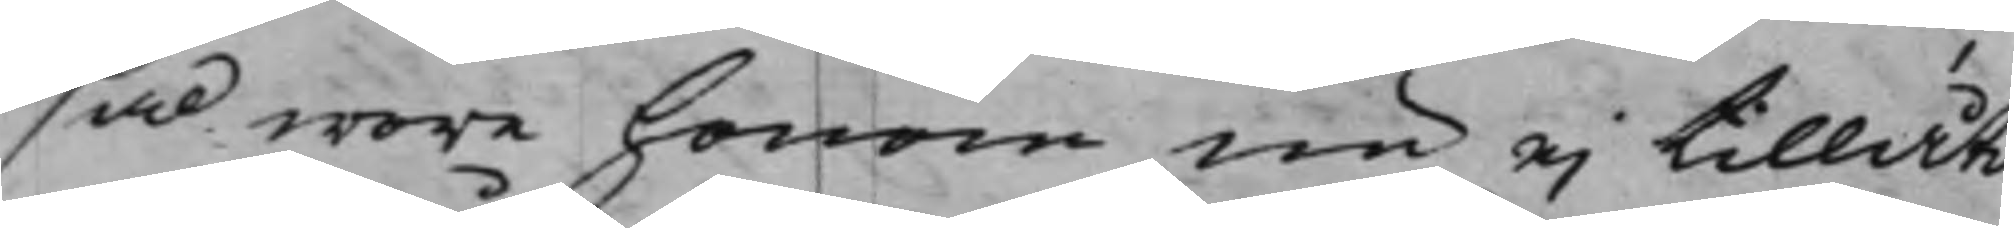så wore honom nu ei tillåtit
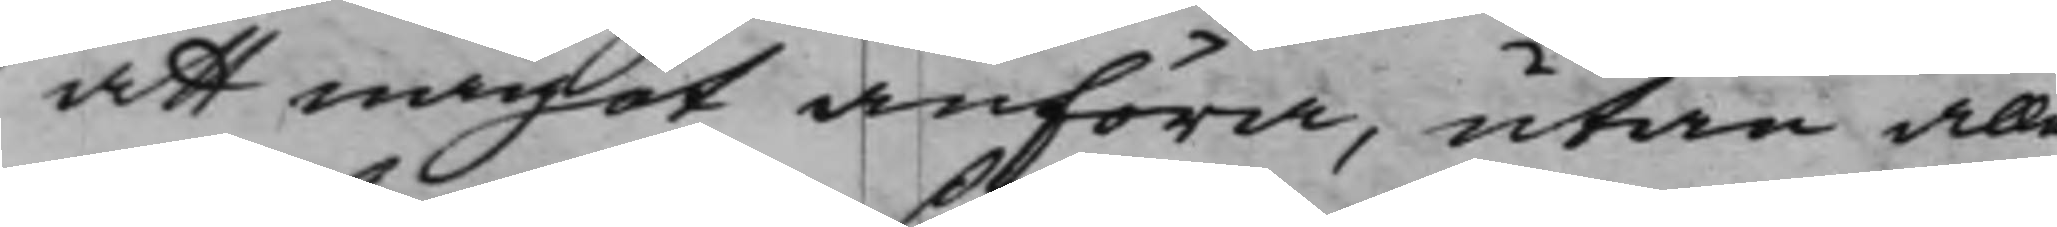att något anföra, utan alle¬
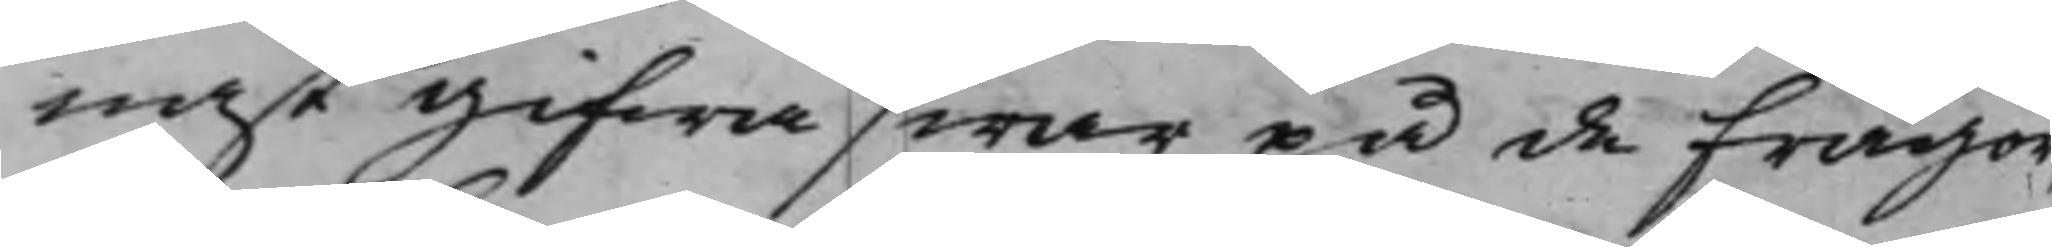nast gifwa swar på de frågor,
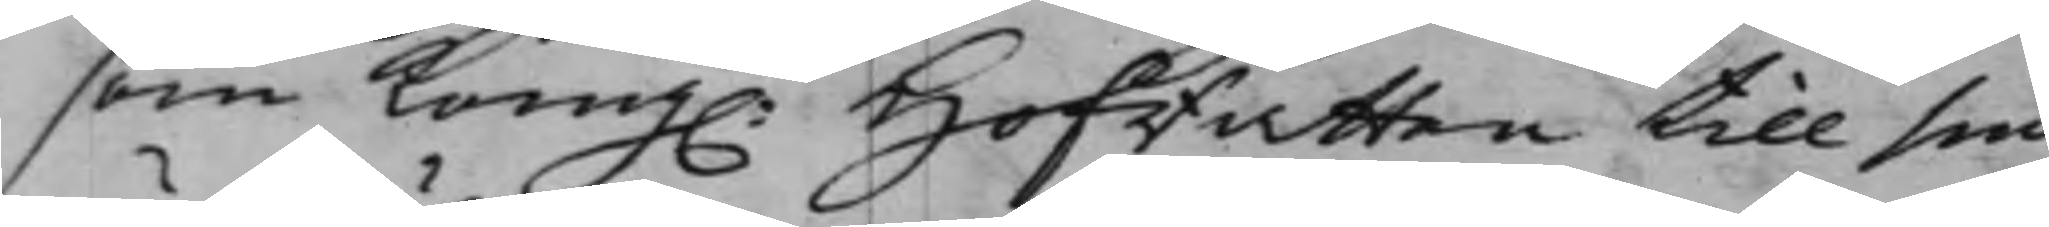som Kong. Hofrätten till sin
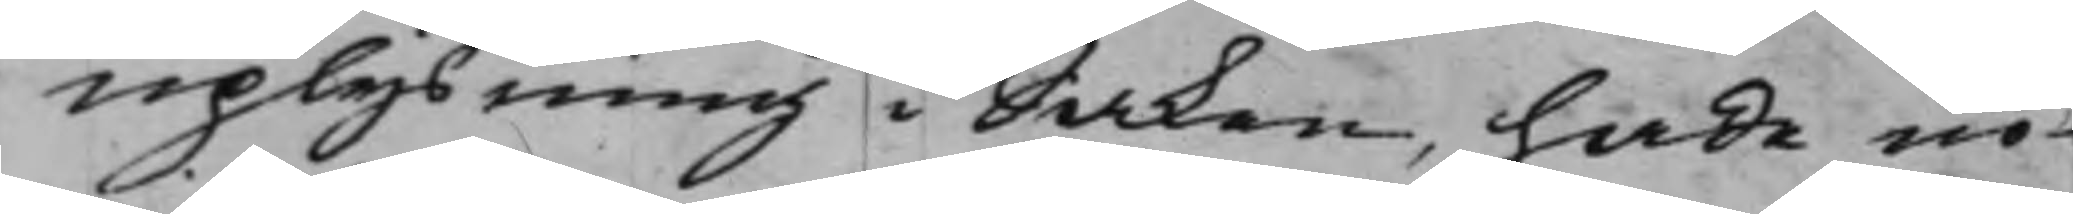uplysning i Saken, hade nö¬
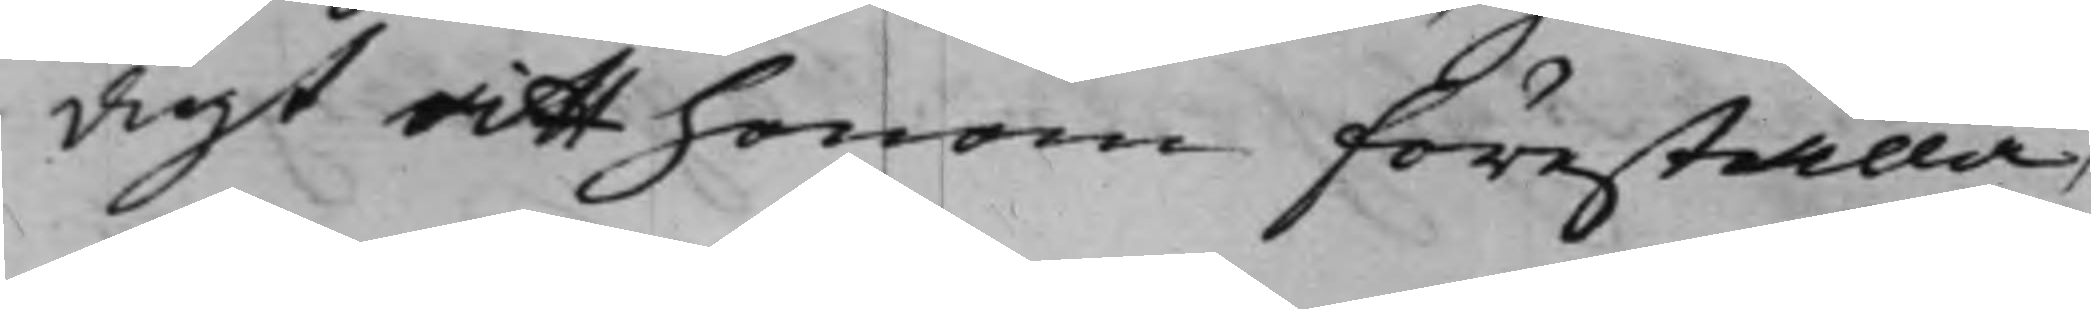digt att honom föreställa,
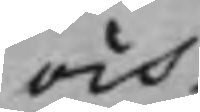och
